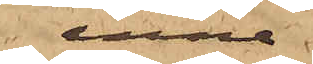inne¬
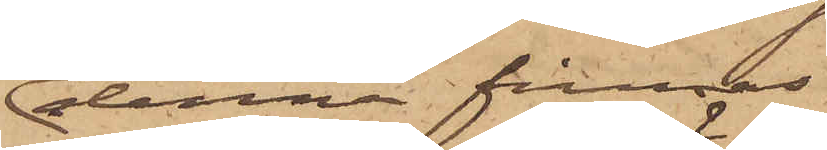denna firmas,
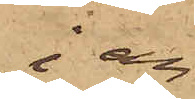i an¬
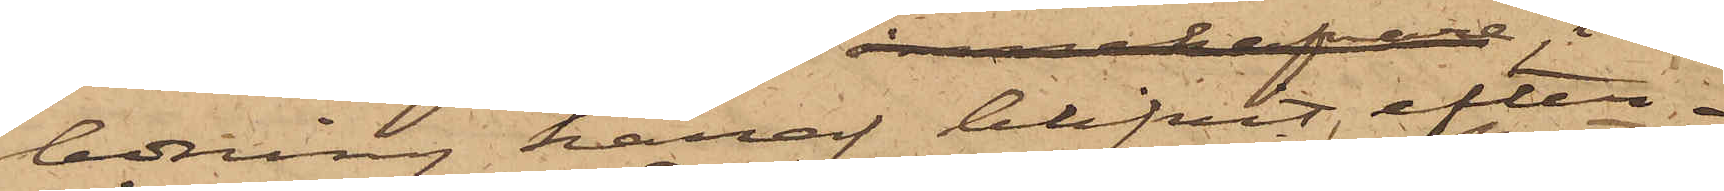ledning häraf blifvit efter¬
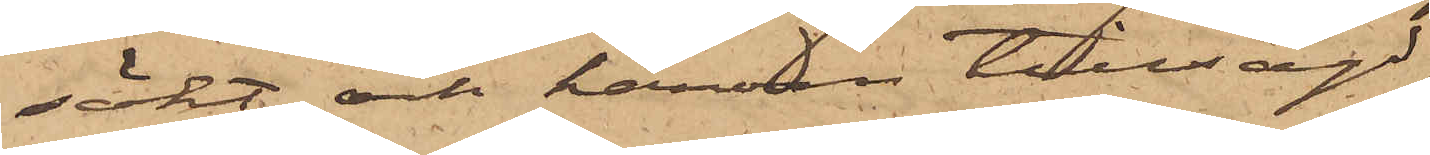sökt och härom tillsagd;
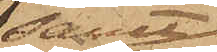samt
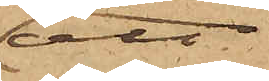att
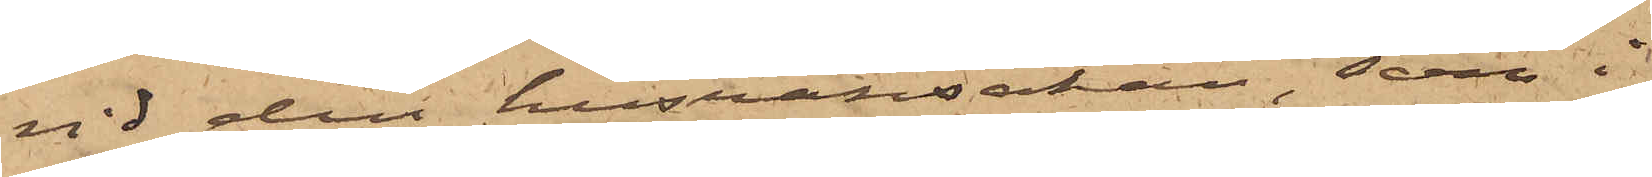vid den husransakan, som i
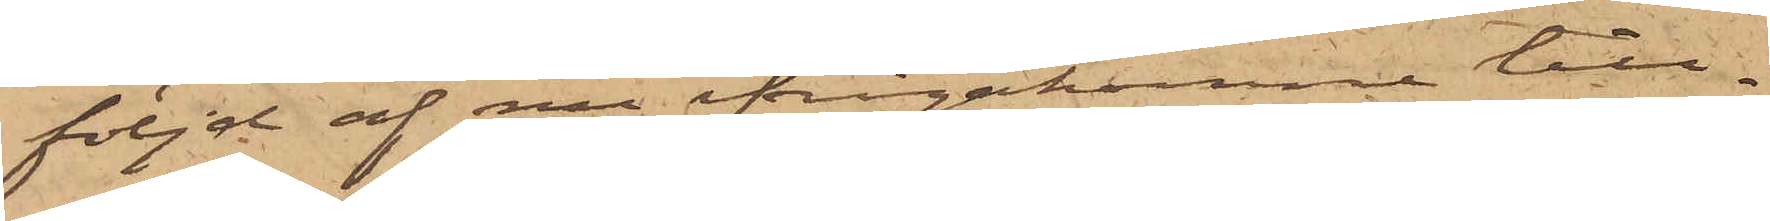följd af nu ifrågakomne till¬
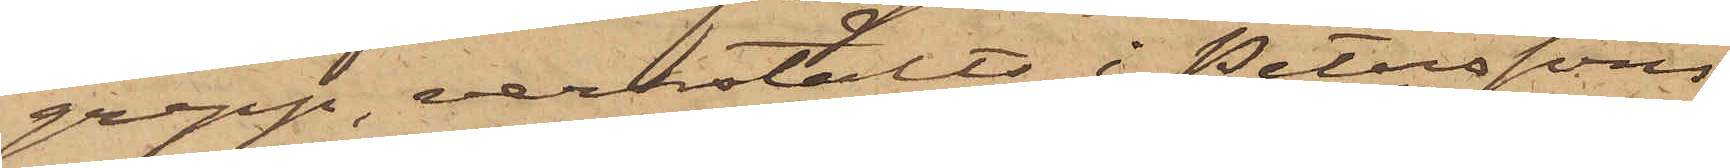grepp, verkstälts i Peterssons
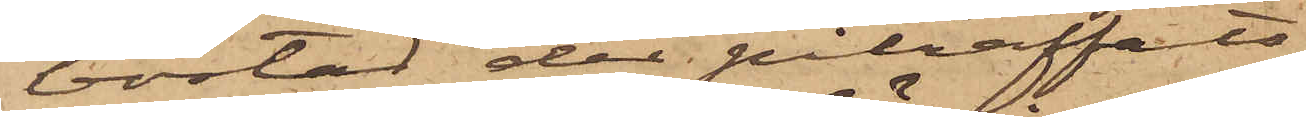bostad der påträffats
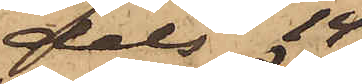dels 14
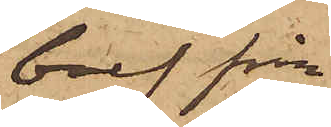bref från
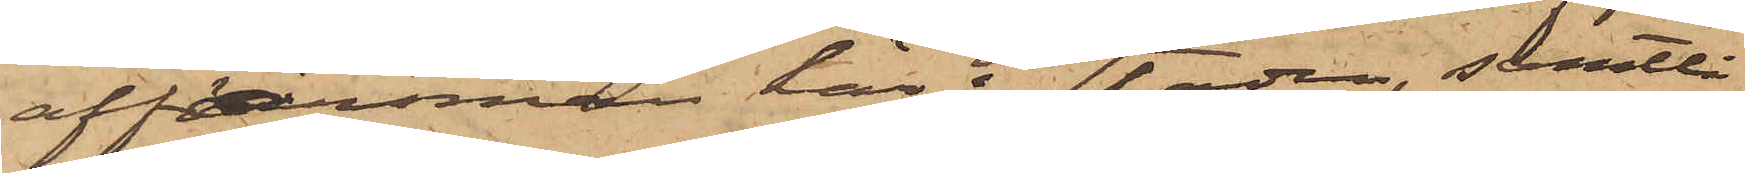affärsmän här i staden, samtli¬
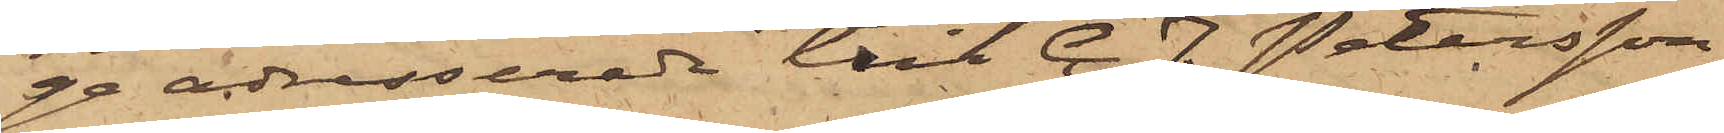ge adresserade till C. F. Petersson
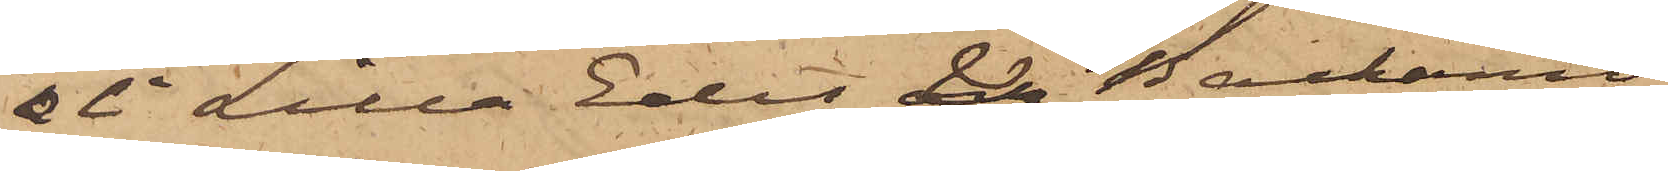& Ci Lilla Edet & Backamo
